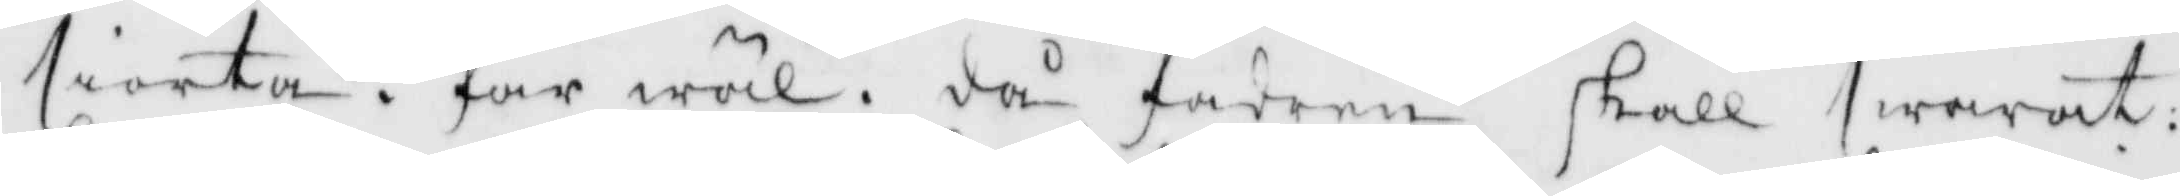siorta. far wäl. då fadren skall swarat:
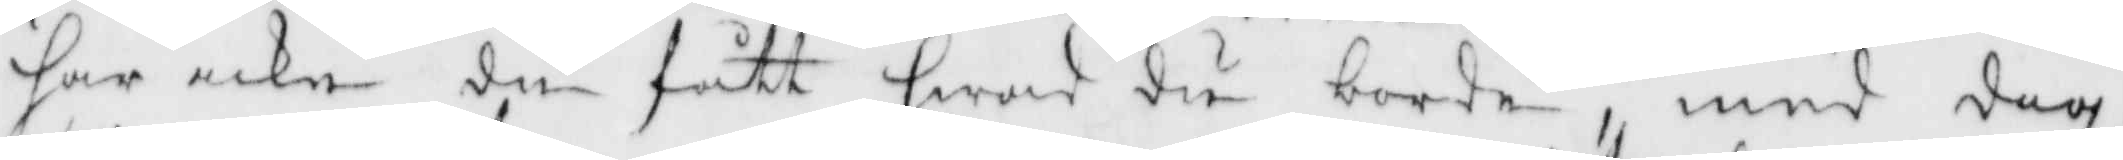har icke du fått hwad du borde med dig
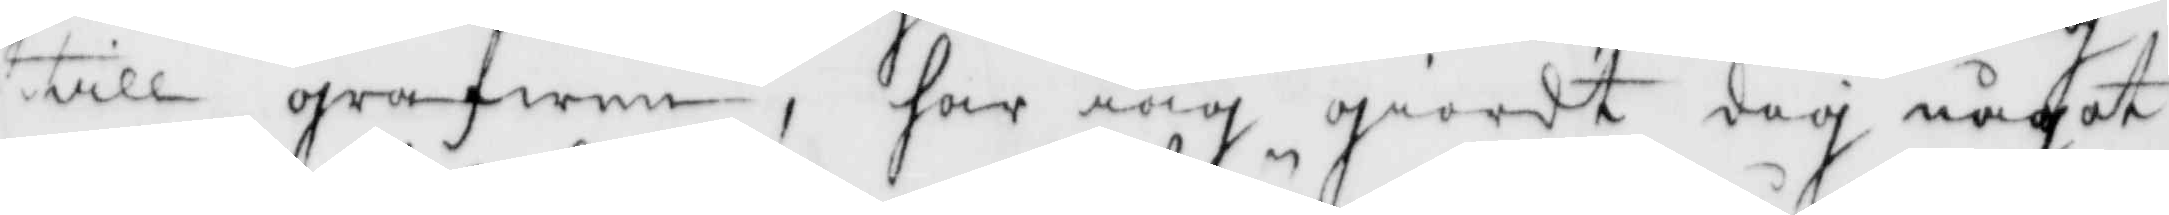till grafwen, har iag giordt dig något
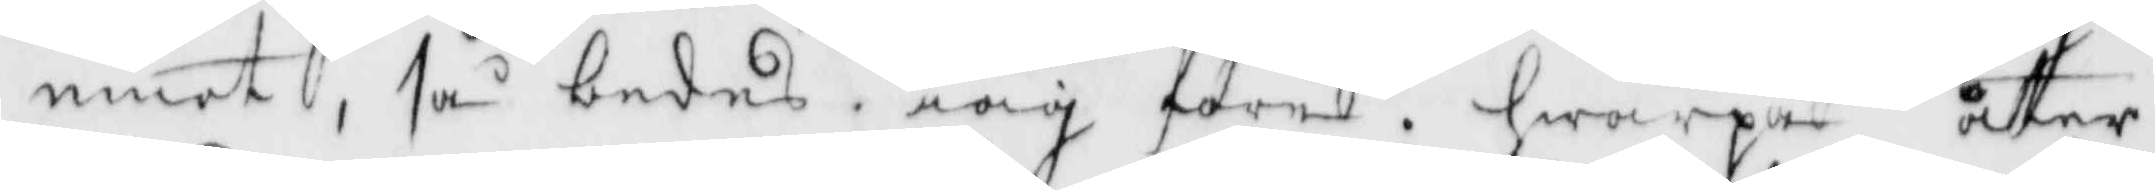emot, så bedes iag före, hwarpå åter
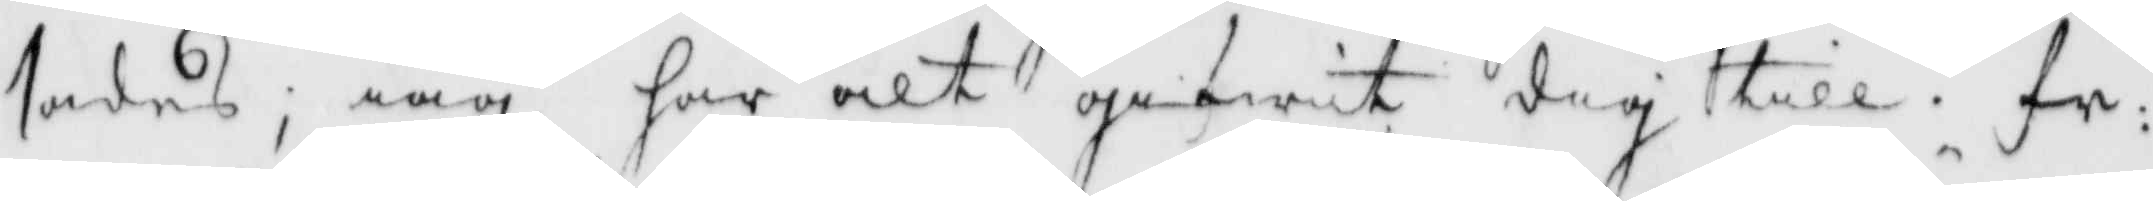sades, iag har alt gifwit dig till, fr:
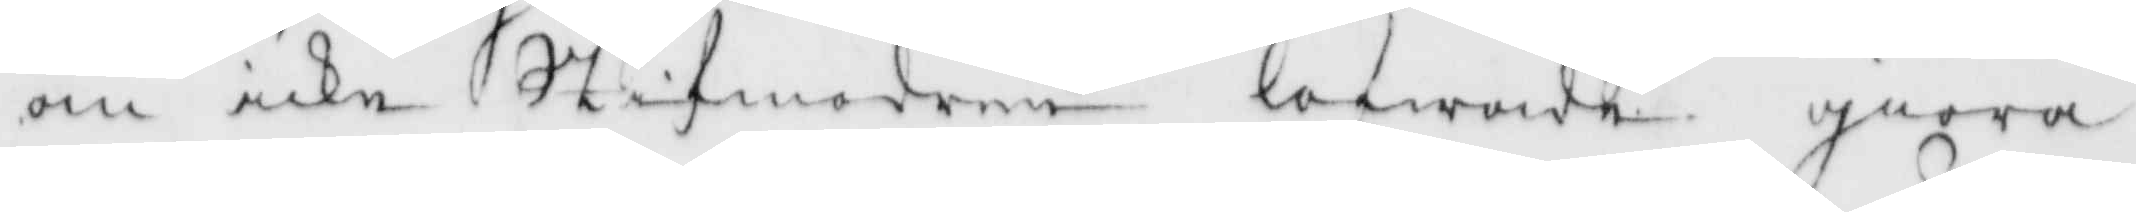om icke Stifmodern lofwade giöra
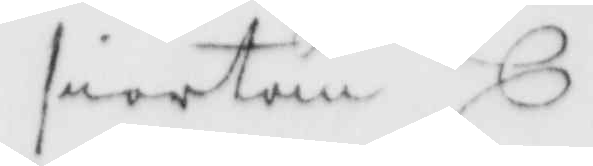siortan
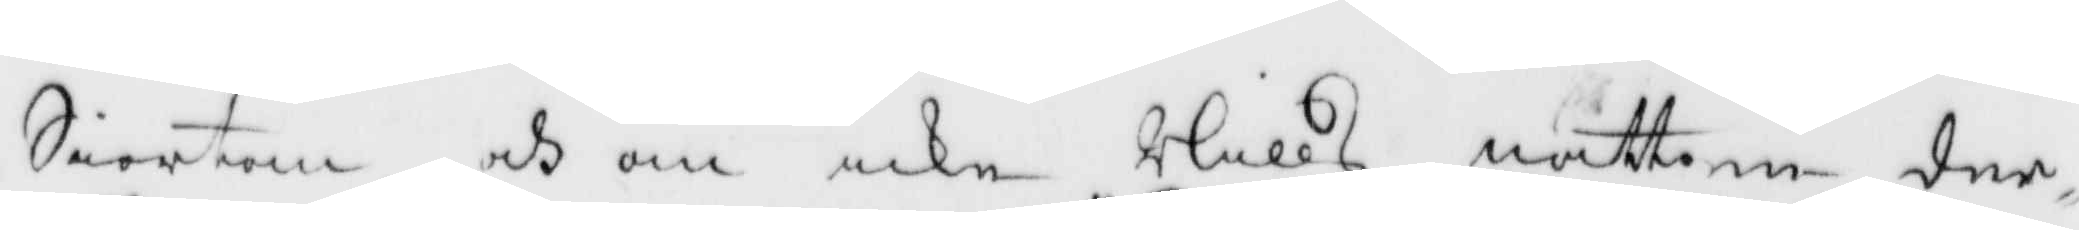Siortan och om icke Nills natten der
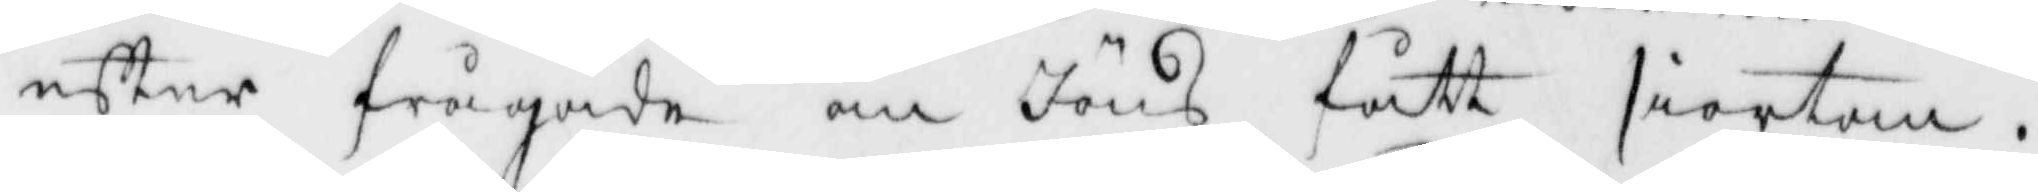efter frågade om Jöns fått siortan.
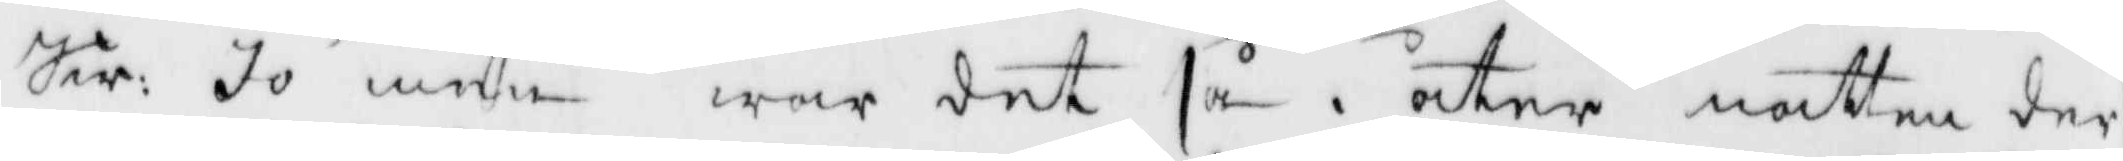Sw: Jo men war det så, åter natten der
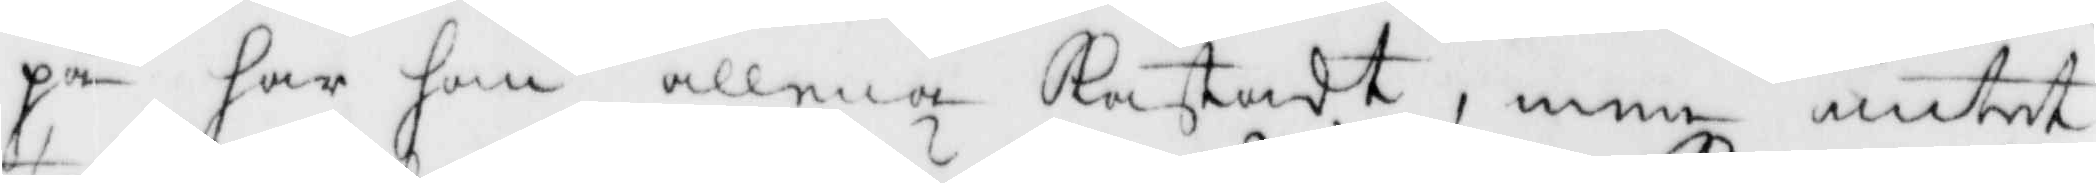på har han allaenast Kastadt, men intet
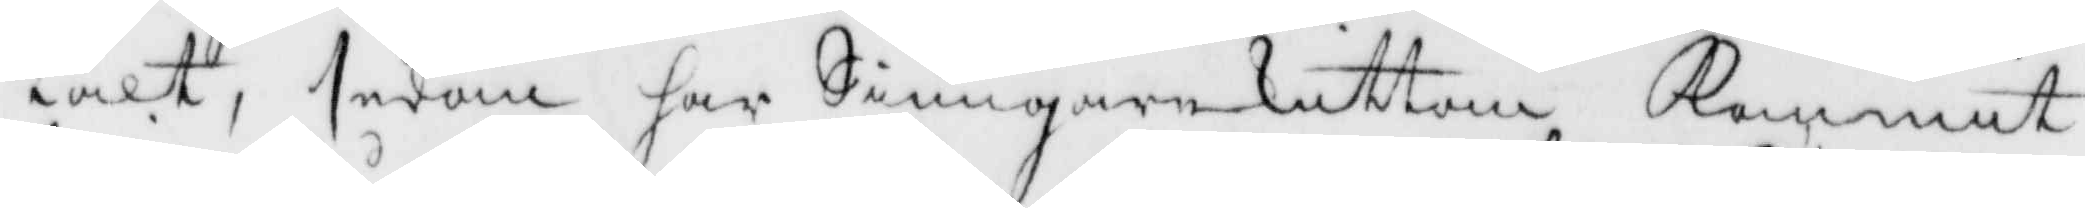talt, sedan har Siungarekuttan Kommit
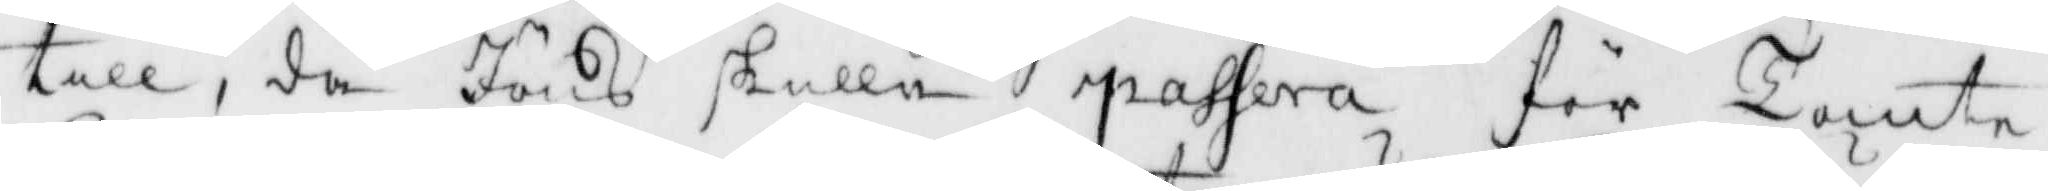till, då Jöns skulle passera för Tomte¬
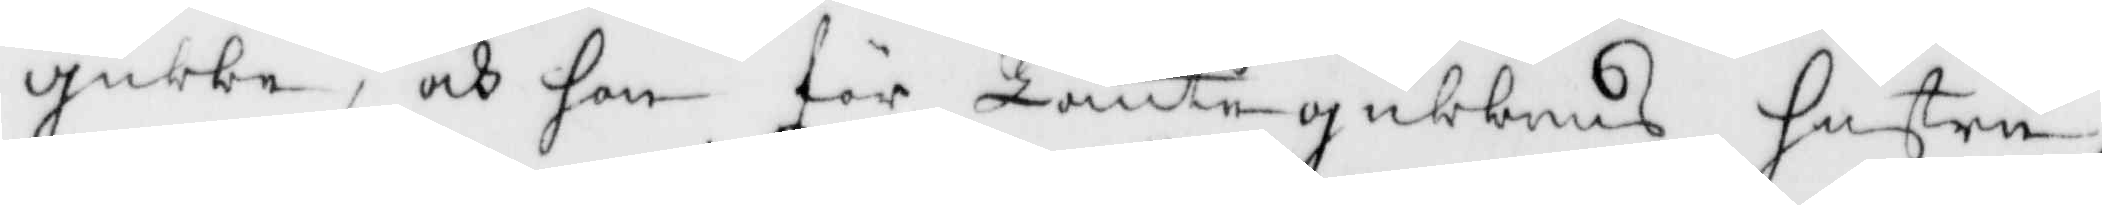gubbe, och hon för Tomtegubbens hustru,
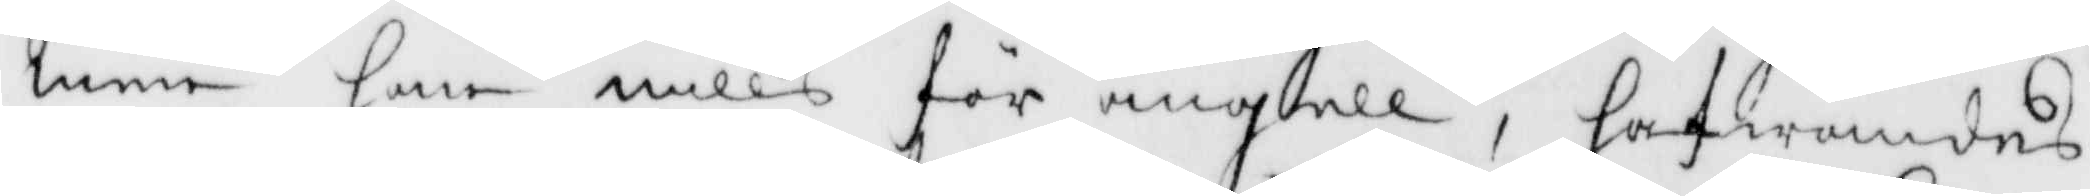men han Nills för ängell, hafwandes
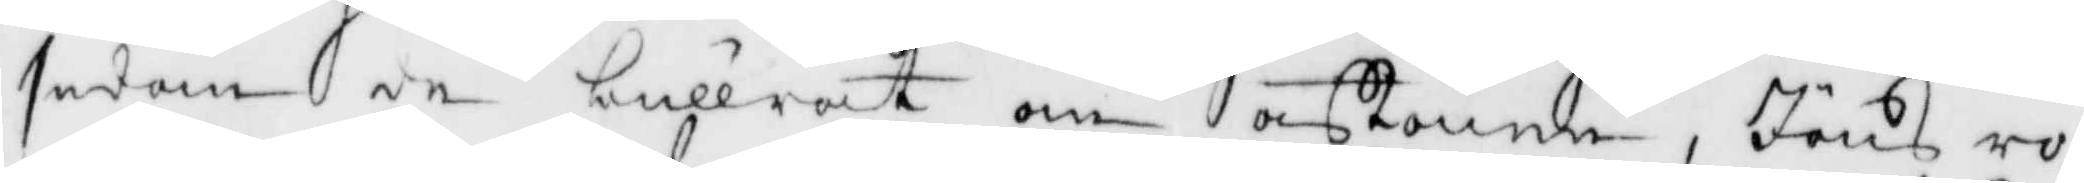sedan de bullrat om aftonne, Jöns ro¬
